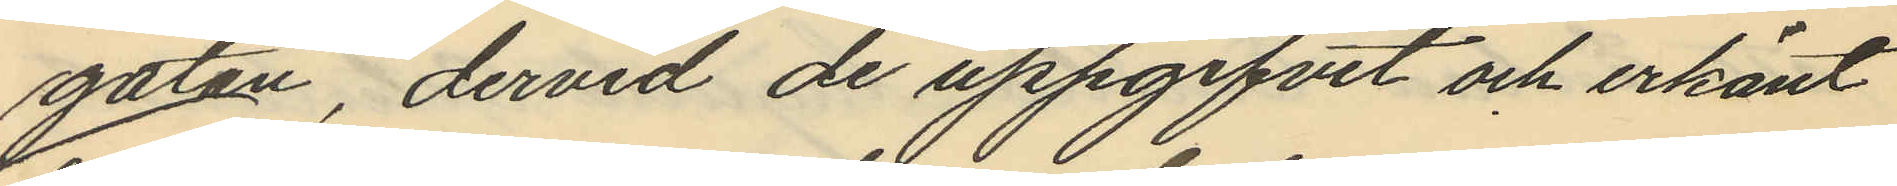gatan, dervid de uppgifvit och erkänt
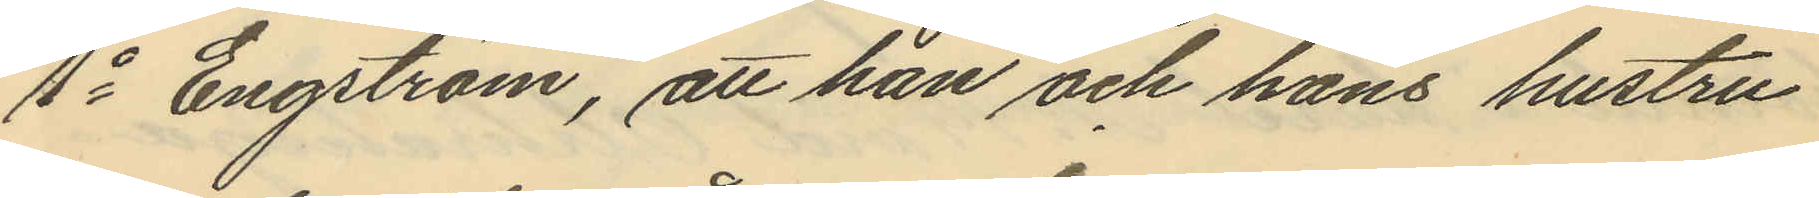1o Engström, att han och hans hustru
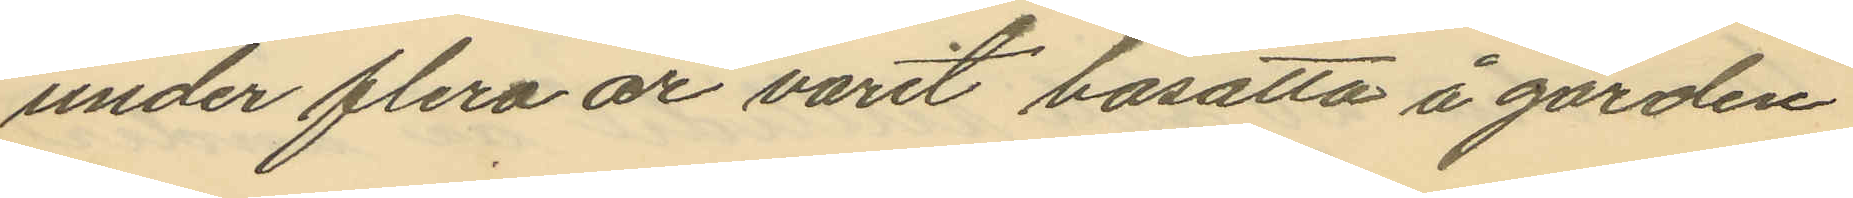under flera år varit bosatta å gården
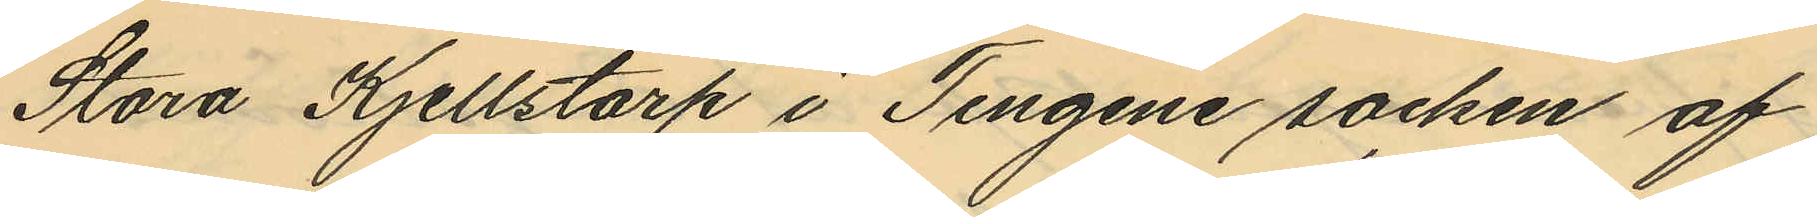Stora Kjellstorp i Tengene socken af
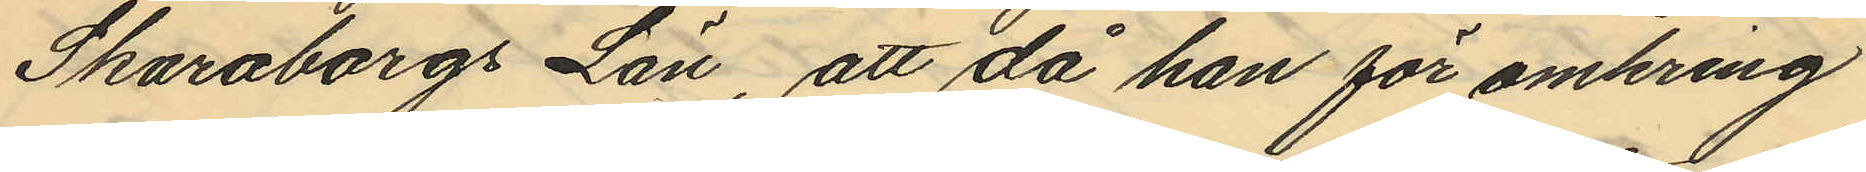Skaraborgs Län, att då han för omkring
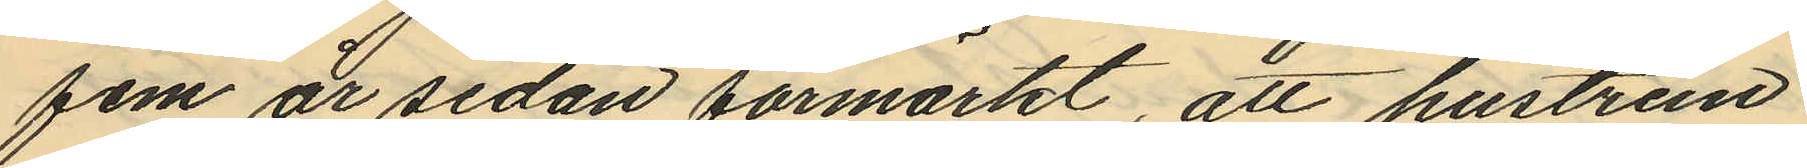fem år sedan förmärkt, att hustrun
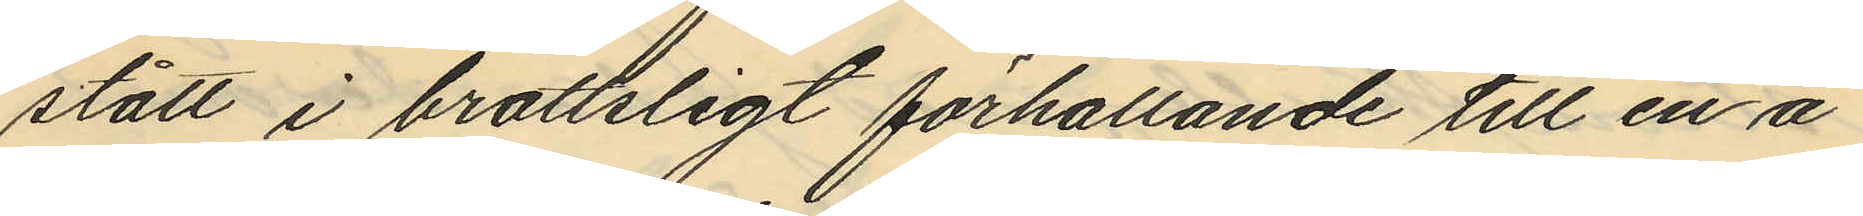stått i brottsligt förhållande till en å
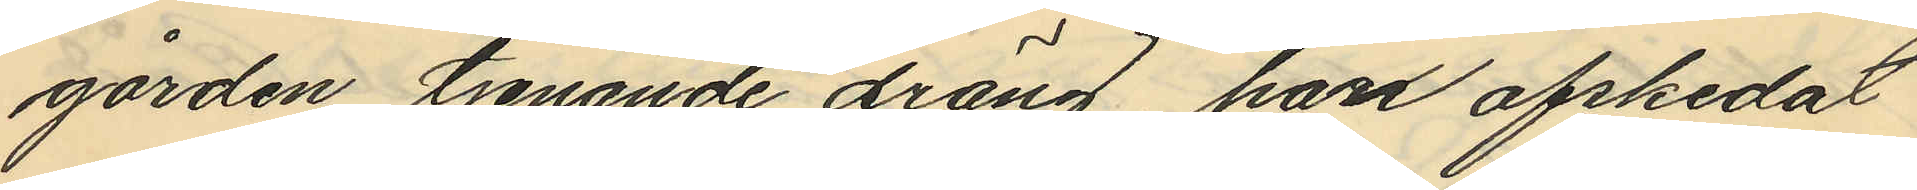gården tjenande dräng, han afskedat
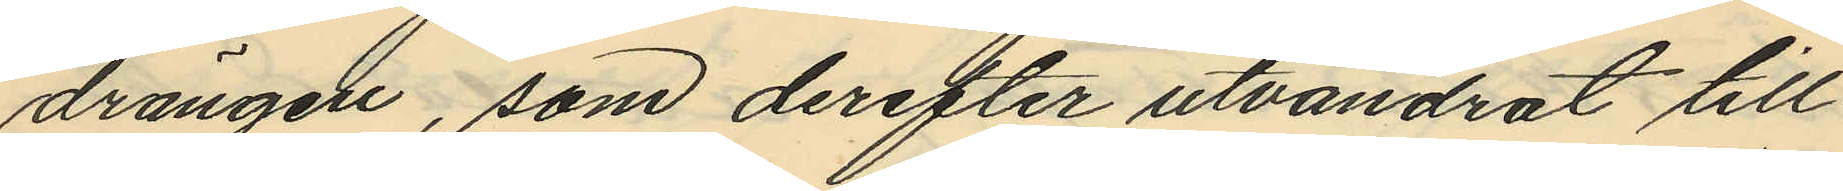drängen, som derefter utvandrat till
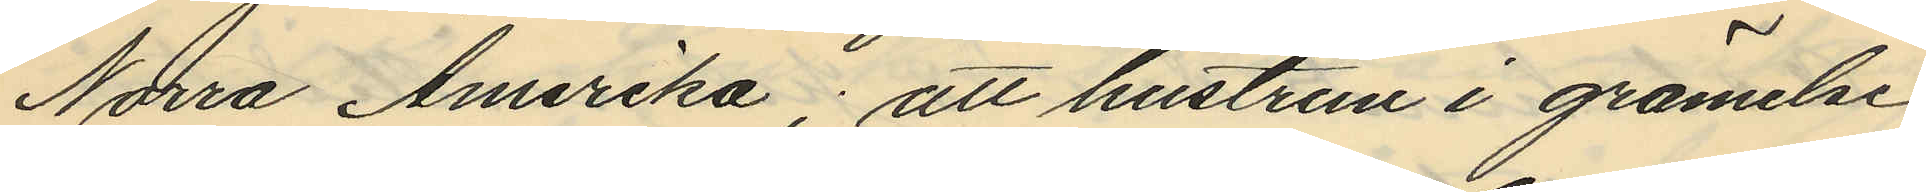Norra Amerika; att hustrun i grämelse
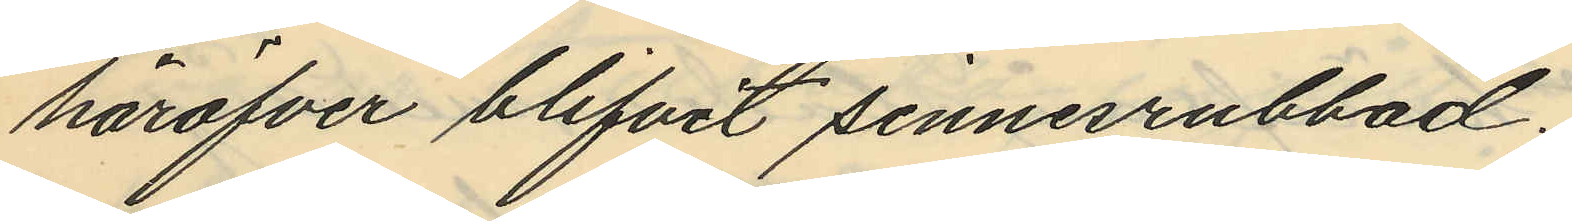häröfver blifvit sinnesrubbad;
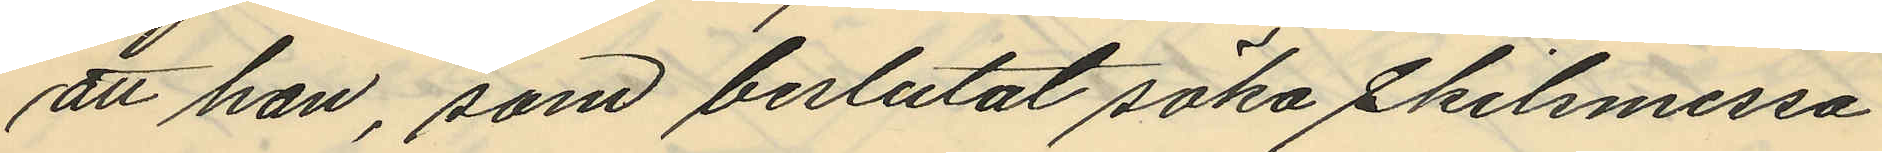att han, som beslutat söka skilsmessa
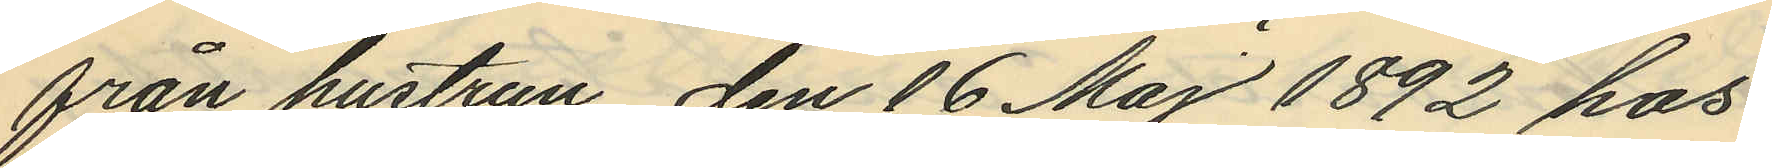från hustrun, den 16 Maj 1892 hos
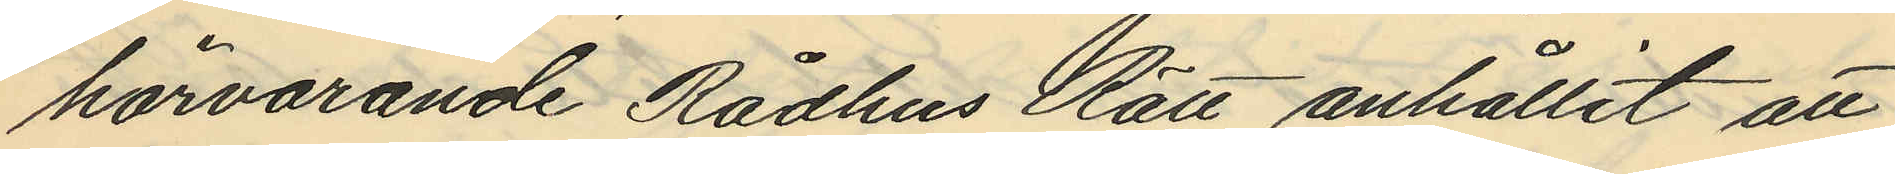härvarande Rådhus Rätt anhållit att
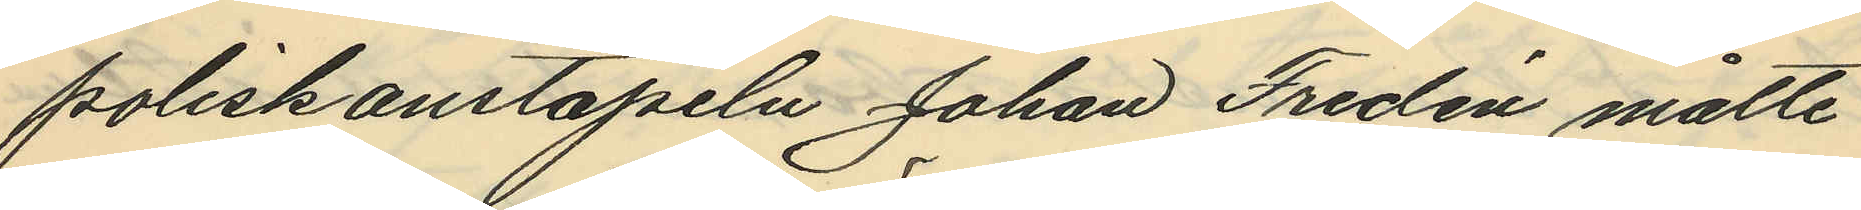poliskonstapeln Johan Fredén måtte
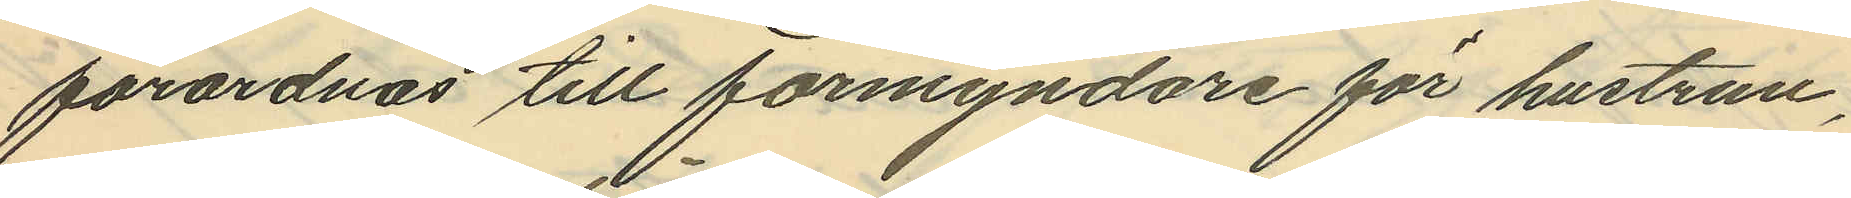förordnas till förmyndare för hustrun,
